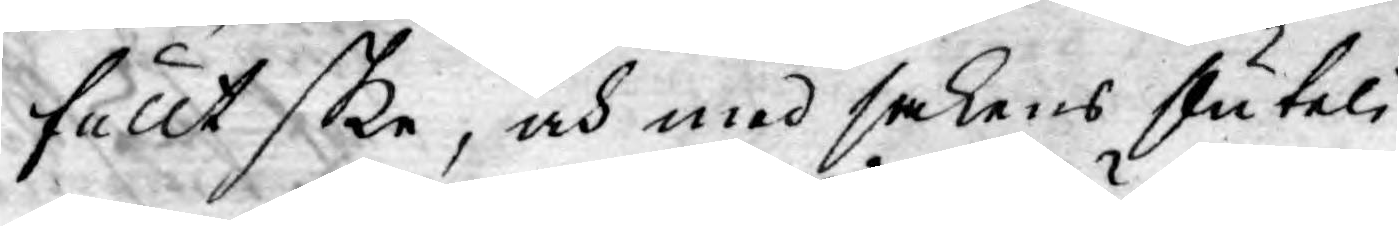fullt ske, och med sakens stuteli¬
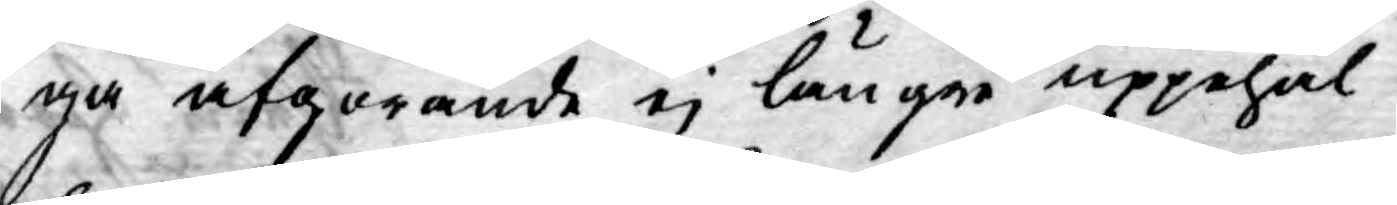ga afgörande ej längre uppehål¬
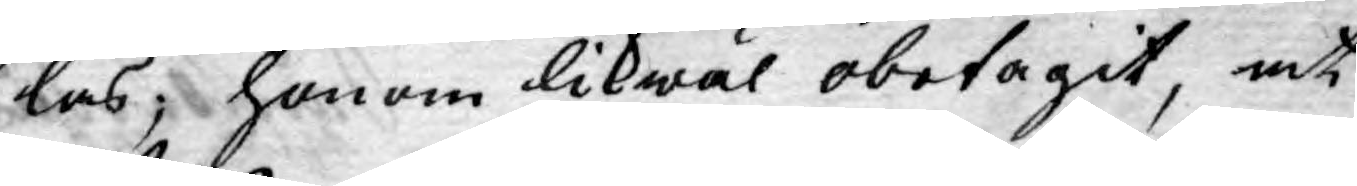las; honom likwäl obetagit, at
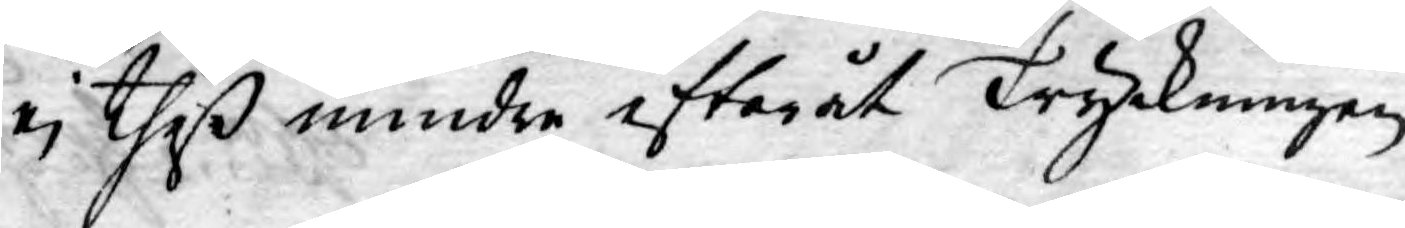ej theß mindre efteråt Tryckningen
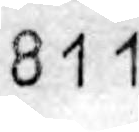811
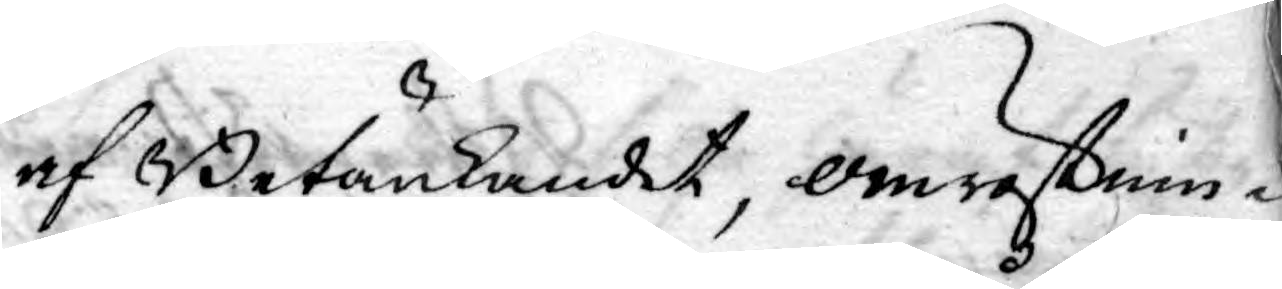af Betänkandet, omröstnin¬
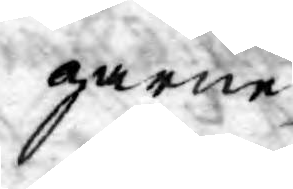garne,
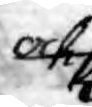och
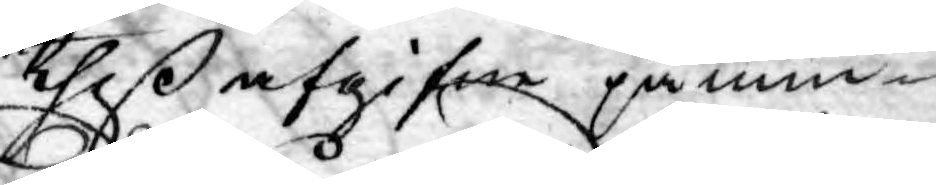theß afgifne påmin¬
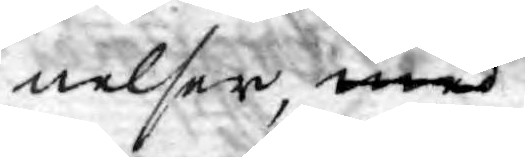nelser, med
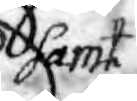samt
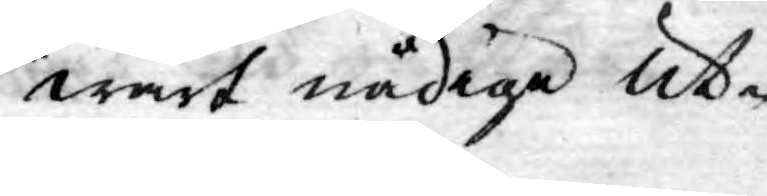wårt nådiga ut¬
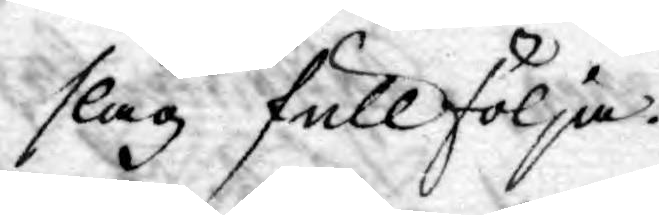slag fullfölja.
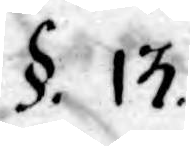§. 13.
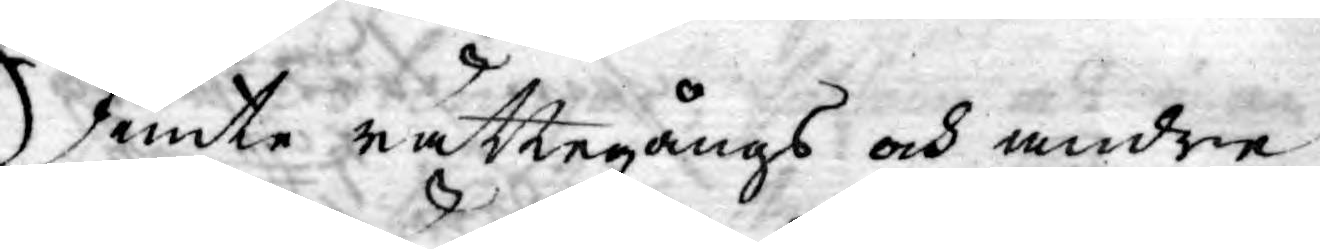Jemte rättegångs och andre
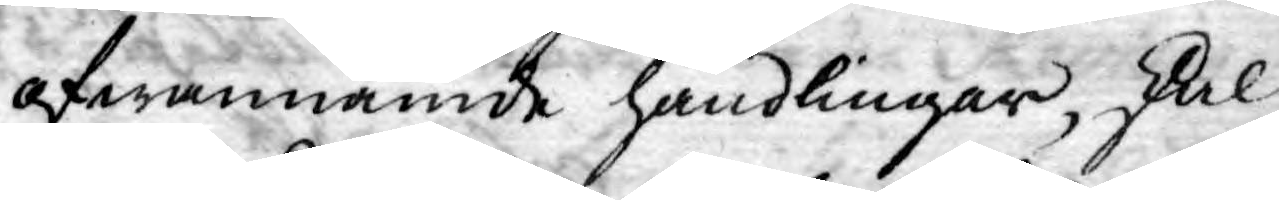ofwannämde handlingar, skal
